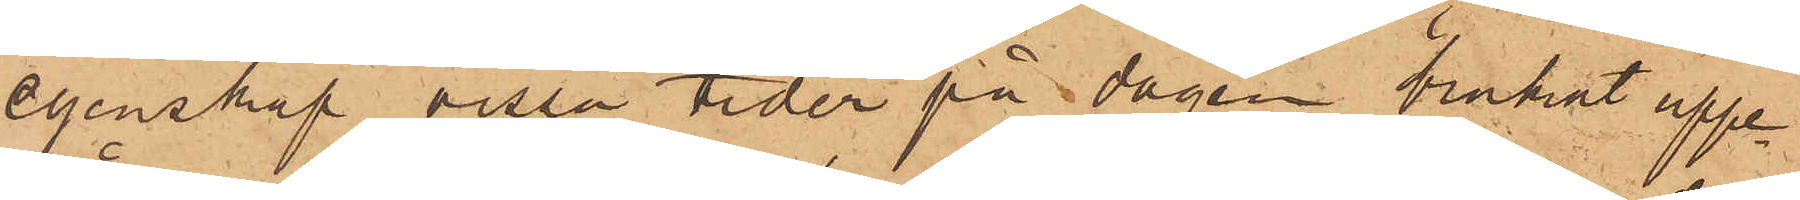egenskap vissa tider på dagen brukat uppe¬
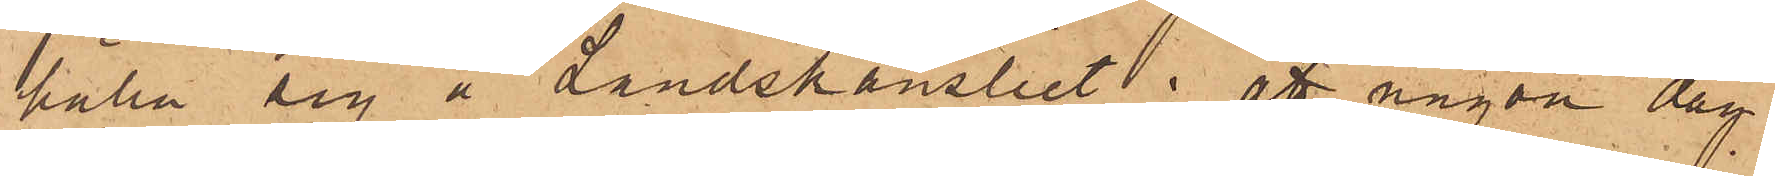hålla sig å Landskansliet; att någon dag
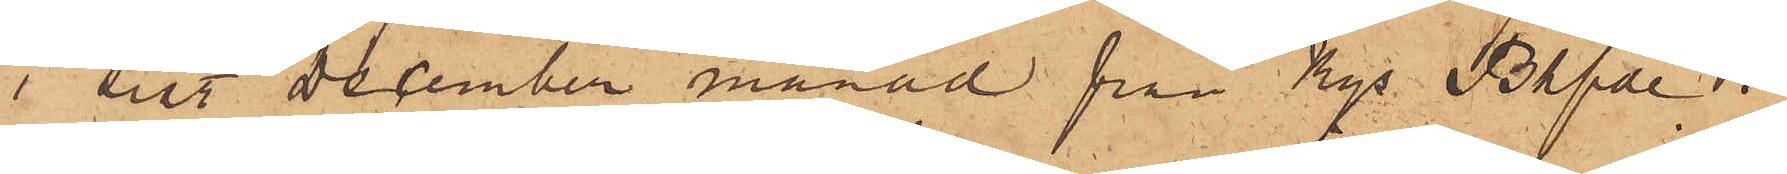i sist December månad från Kgl Bhfde i
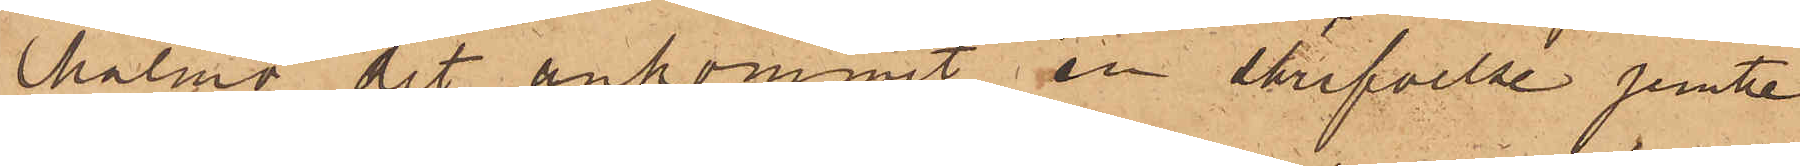Malmö dit ankommit en skrifvelse jemte
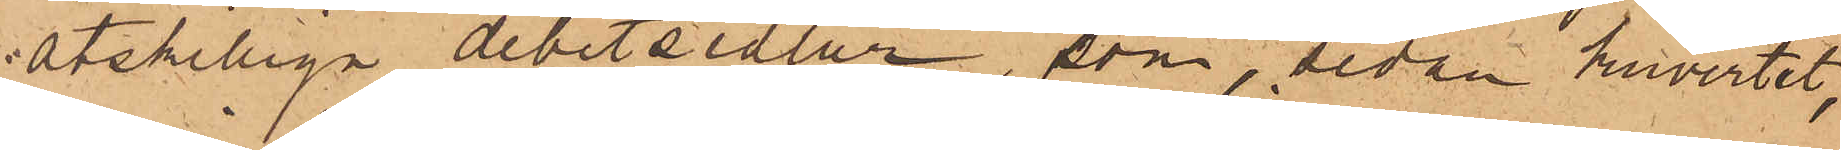åtskilliga debetsedlar, som sedan kuvertet,
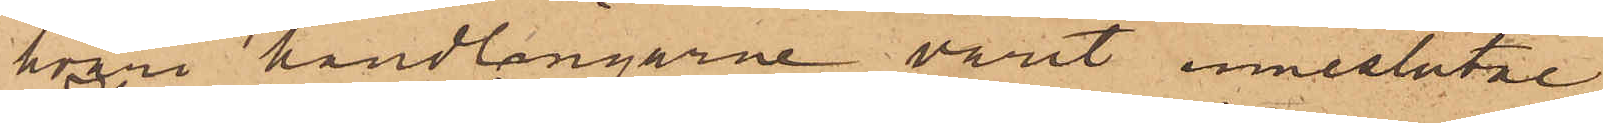hvari handlingarne varit inneslutne,
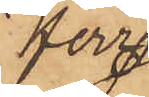Herr
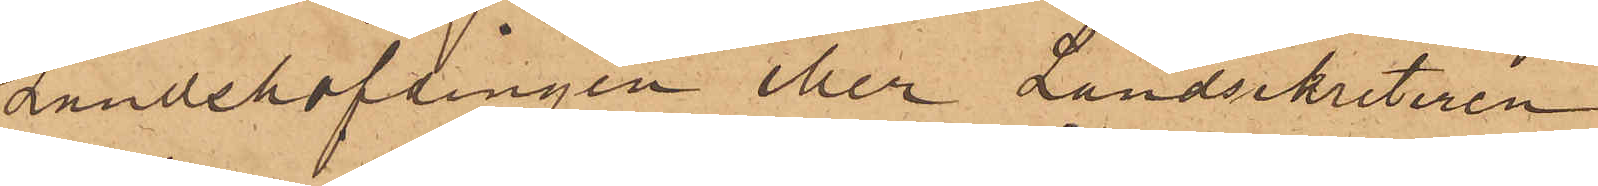Landshöfdingen eller Landsekretaren
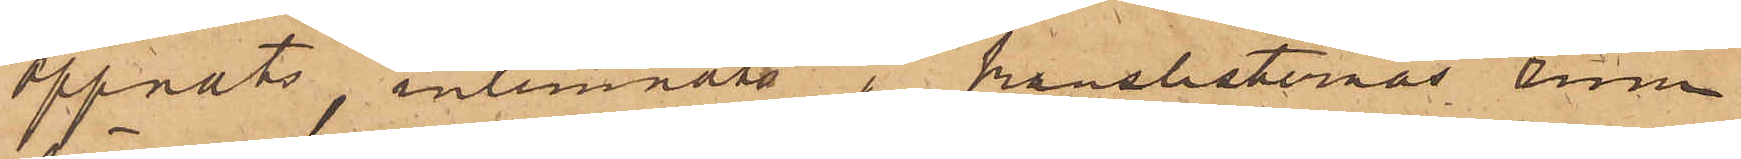öppnats, inlemnats i kanslisternas rum
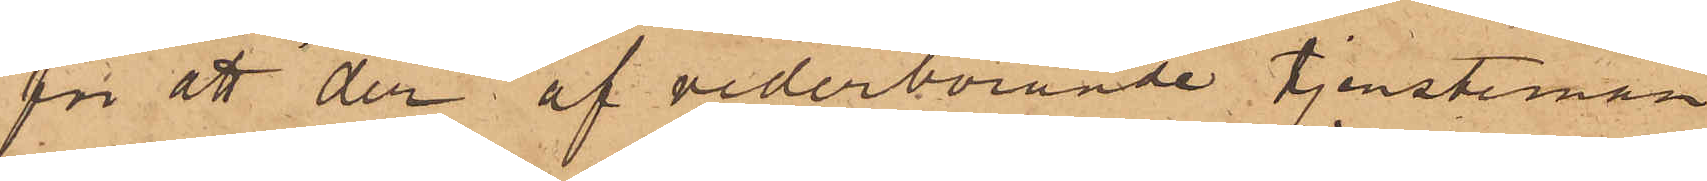för att der af vederbörande tjensteman
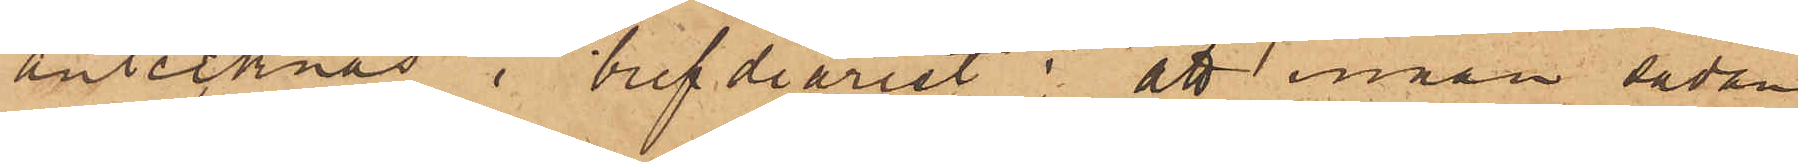antecknas i bref diariet: att innan sådan
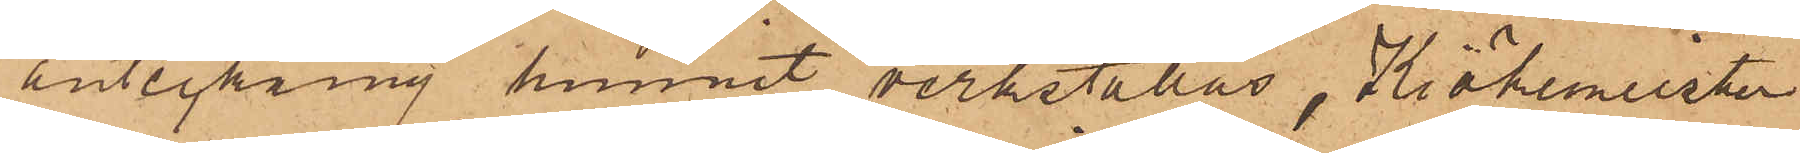anteckning hunnit verkställas, Kiökemeister
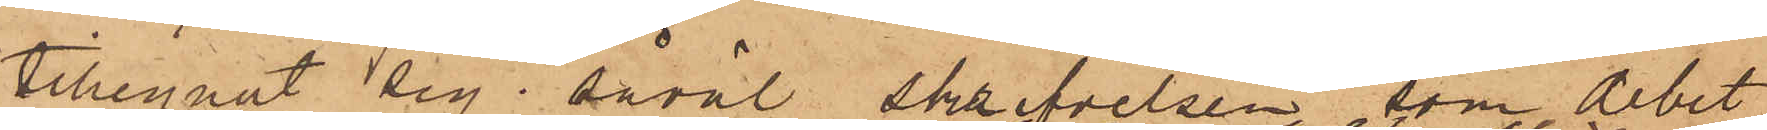tillegnat sig såväl skrifvelsen, som debet¬
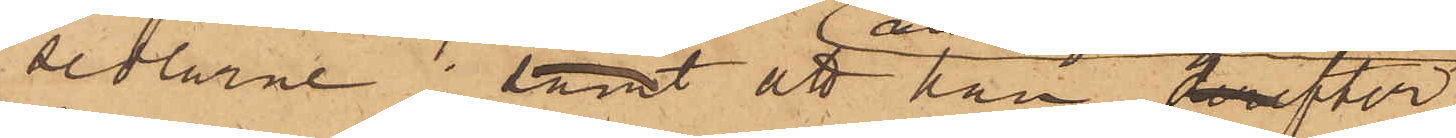sedlarne; samt att han derefter
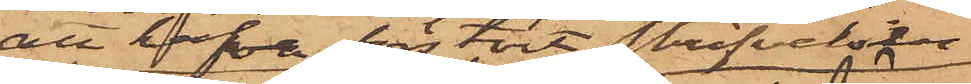att hafva förstört skrifvelsen
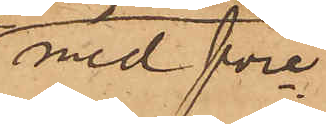med före¬
